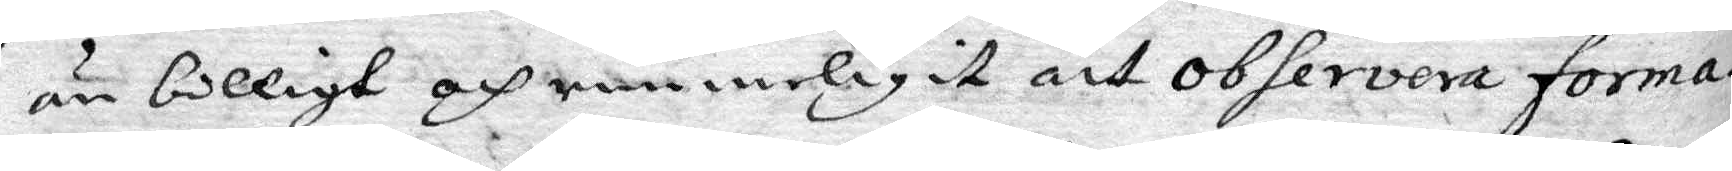än billigt och rimmeligit att observera forma¬
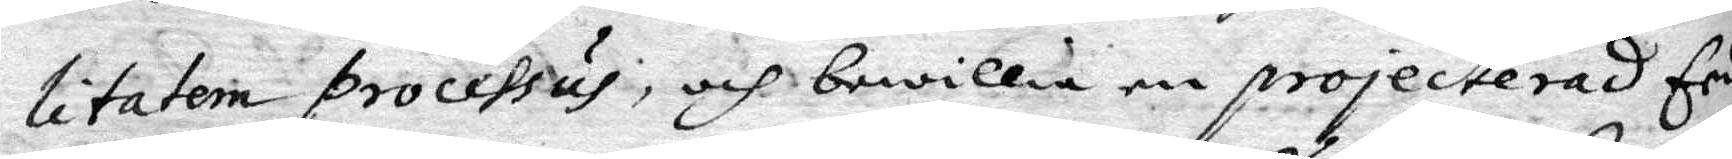litatem processus, och bewillia en projecterad Eed,
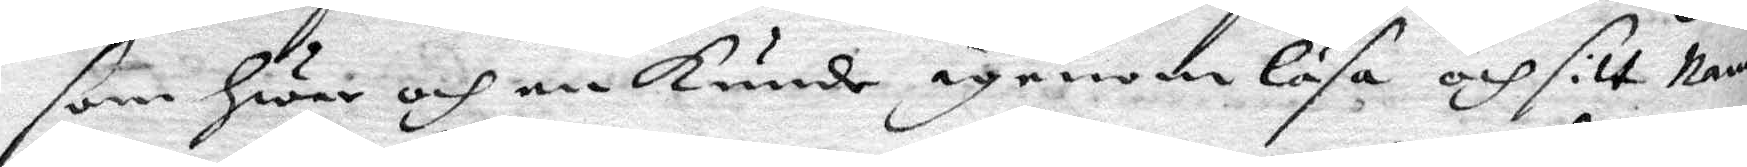som hwar och en kunde, igenom läsa och sitt Namp
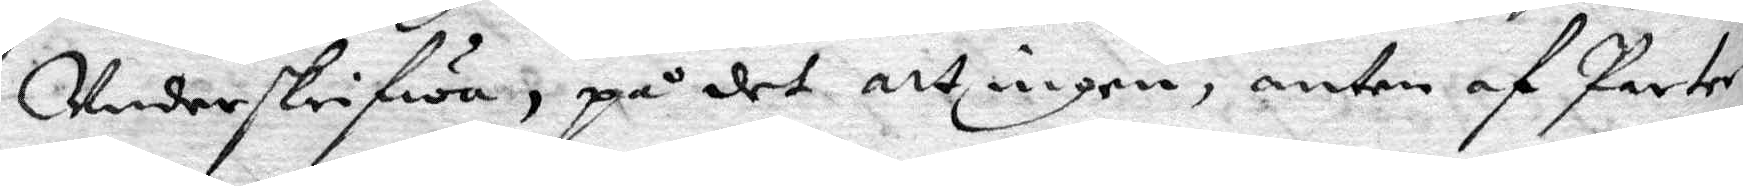Underskrifwa, på det att ingen, anten af Parter¬
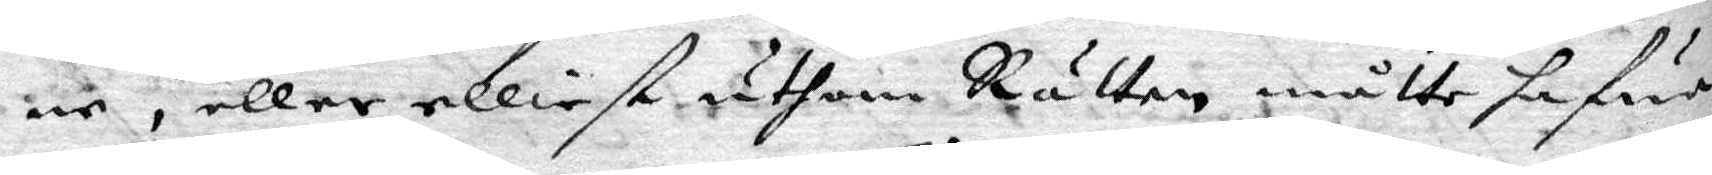ne, eller elliest uthan Rätten måtte hafwa
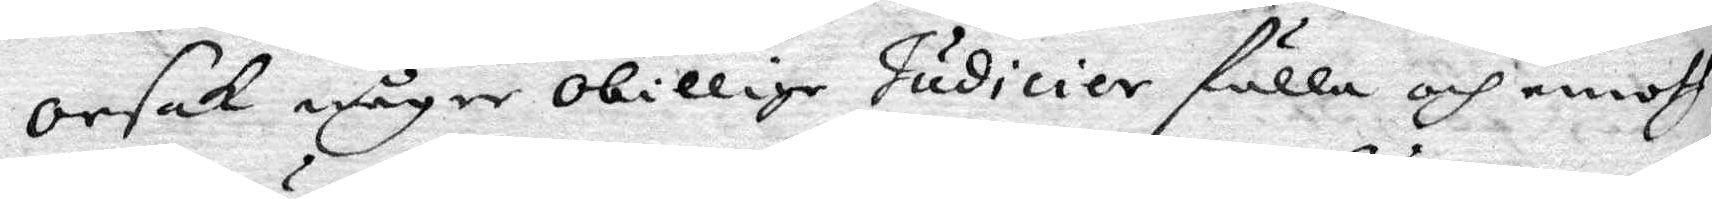orsak någre obillige Judicier fälla och emoth
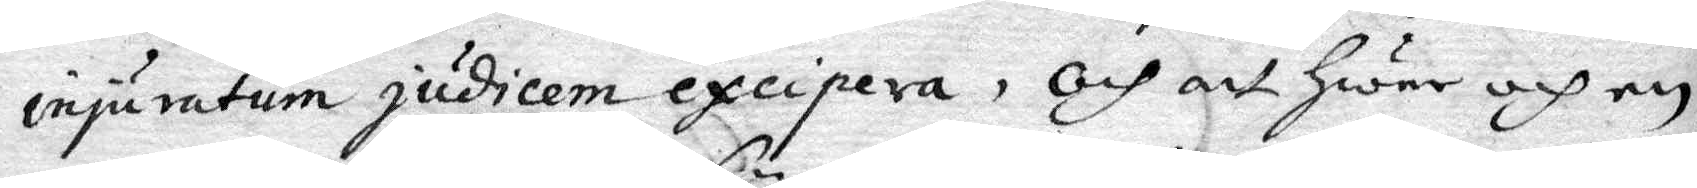injuratum judicem excipera, och att hwar och en
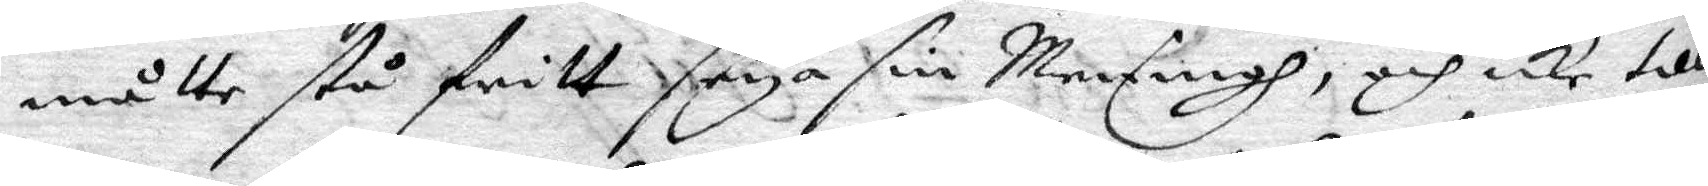måtte stå fritt seya sin Meningh, och icke till
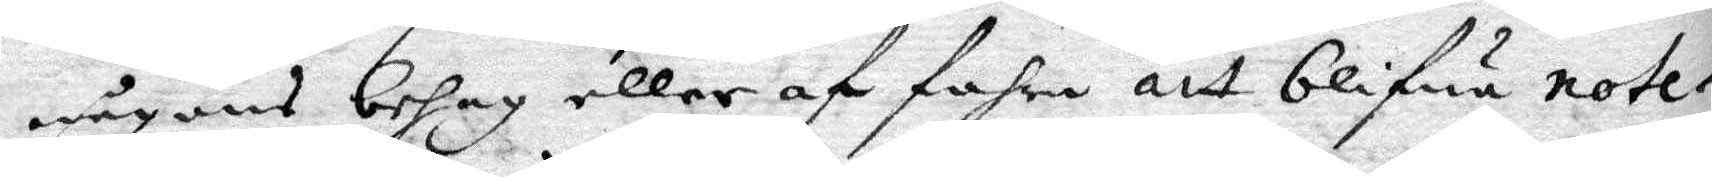någons behag eller af fahra att blifwa note¬
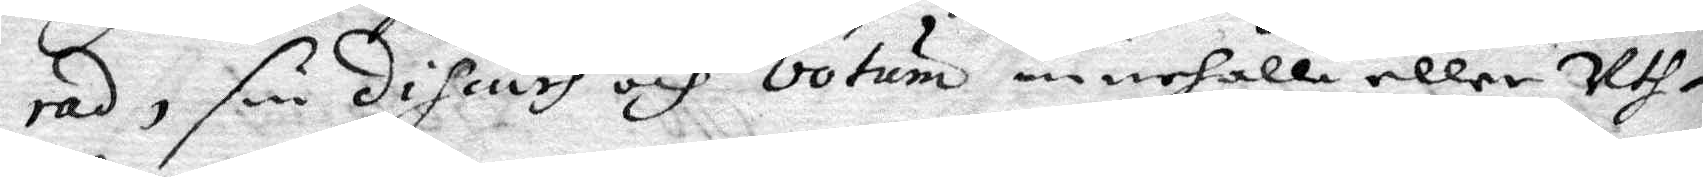rad, sin discurs och Votum innehålla eller Uth¬
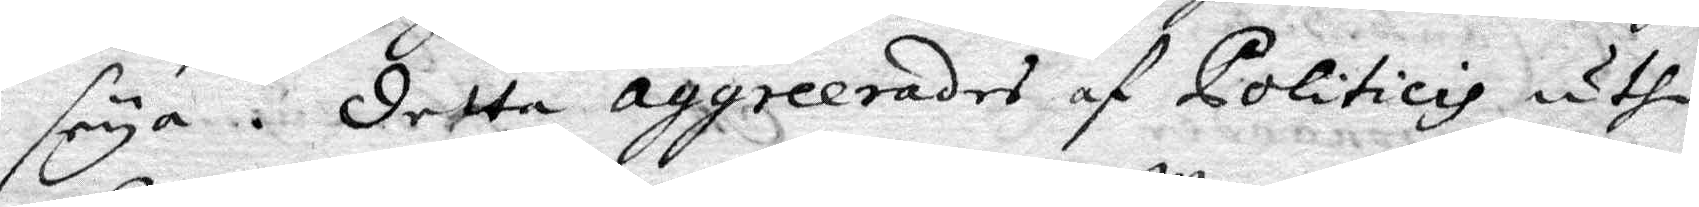seya. detta aggreerades af Politicis uthi
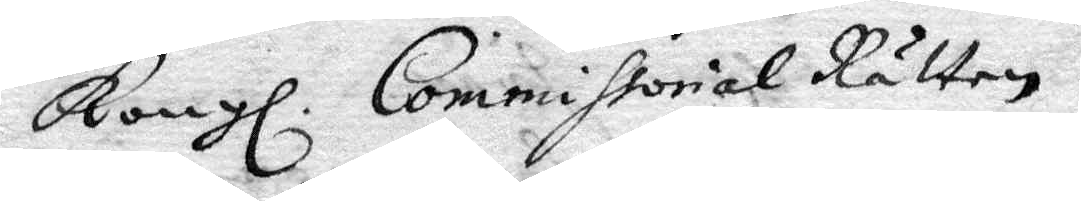Kongl. Commissorial Rätten,
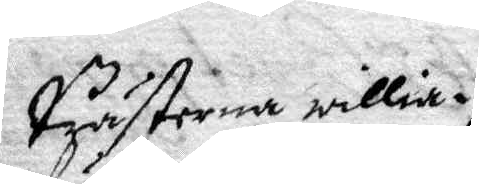Prästerna willia i
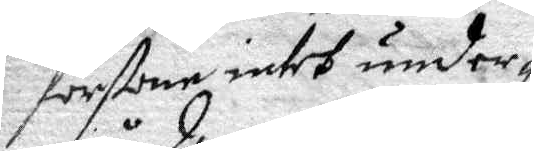förstone intet under¬
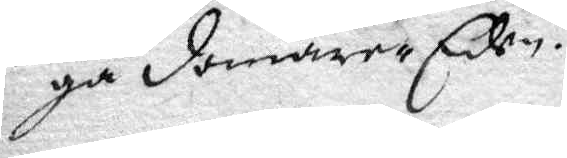gå domare-Eden.
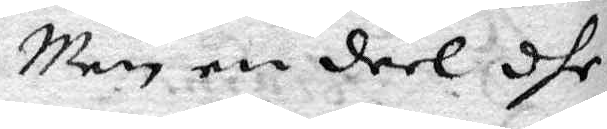Men en deel dhe
